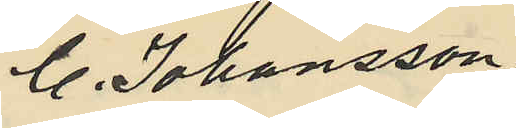C. Johansson
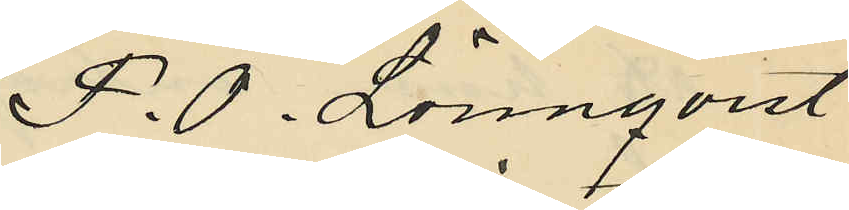F. O. Lönnqvist
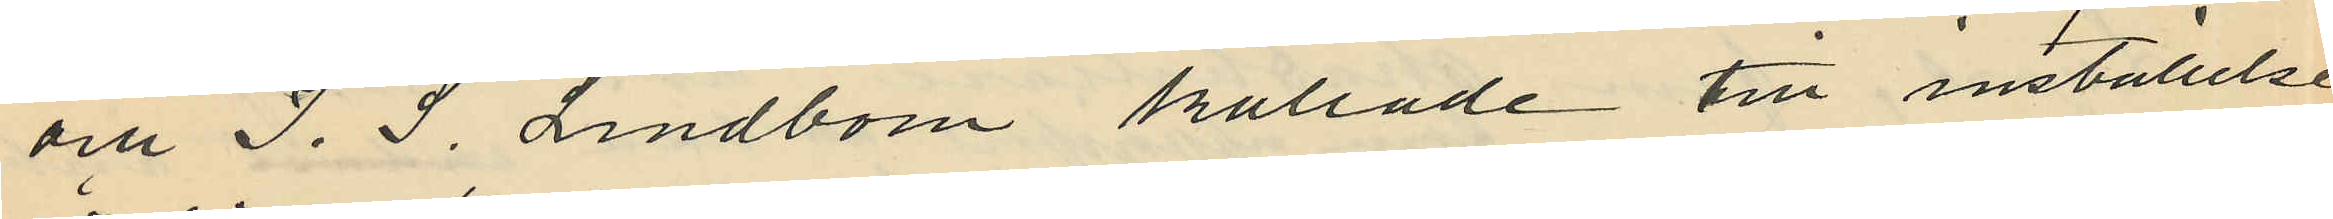och J. S. Lindbom kallade till inställelse
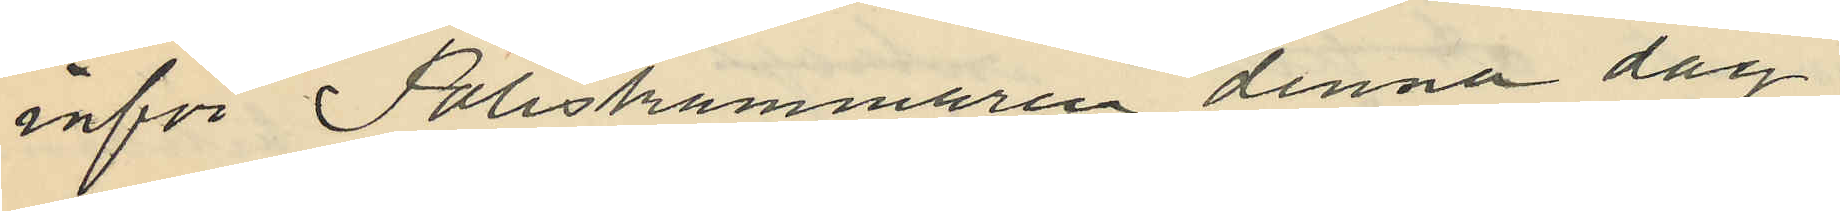inför Poliskammaren denna dag
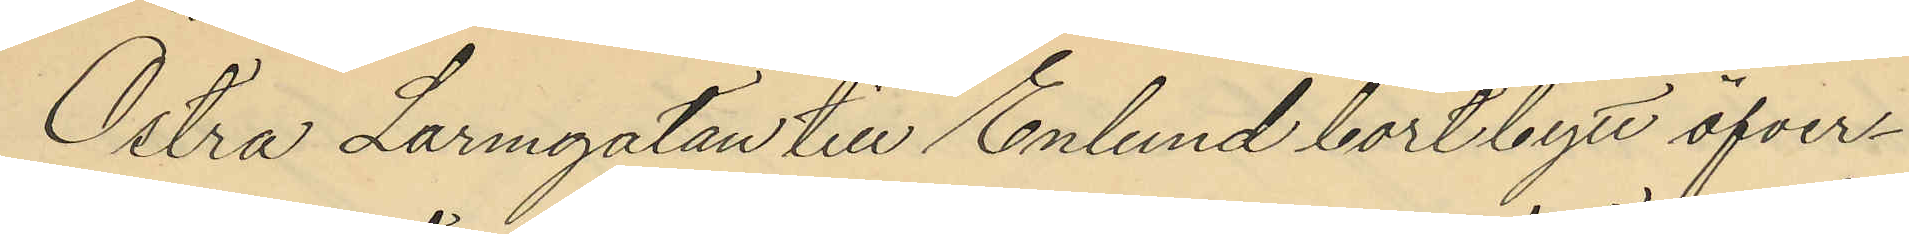Östra Larmgatan till Enlund bortbytt öfver¬
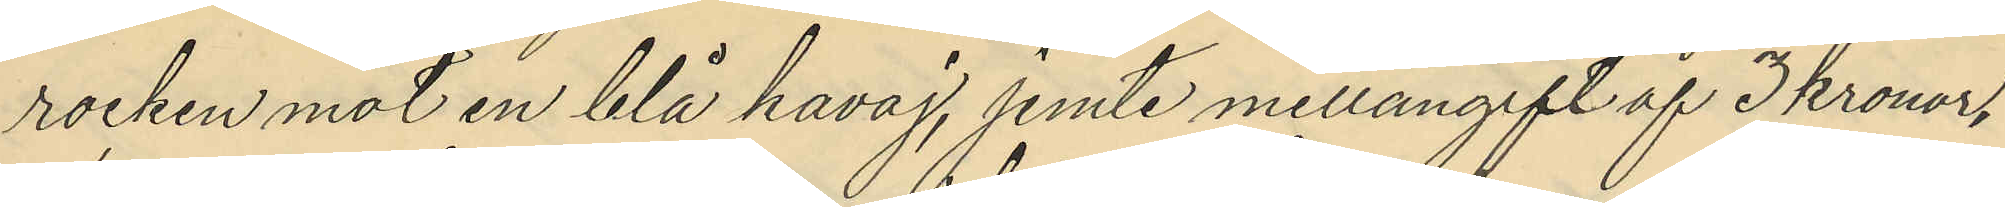rocken mot en blå kavaj, jemte mellangift af 3 kronor,
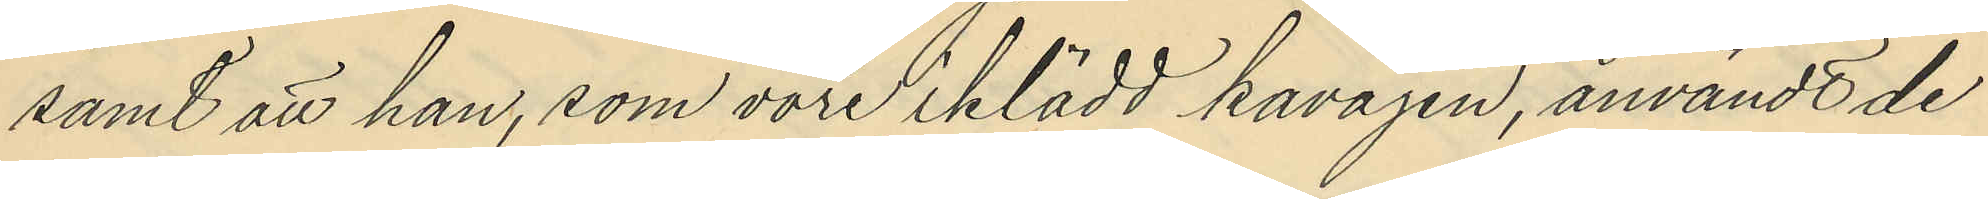samt att han, som vore iklädd kavajen, användt de
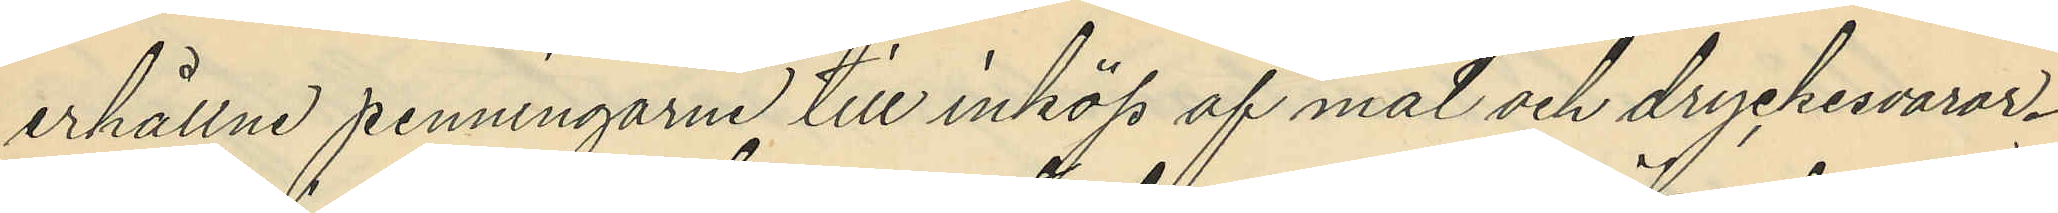erhållne penningarne till inköp af mat och dryckesvaror.
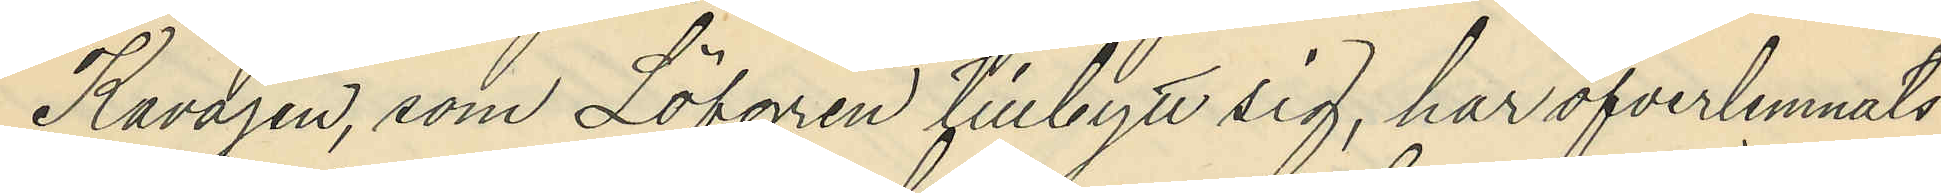Kavajen, som Löfgren tillbytt sig, har öfverlemnats
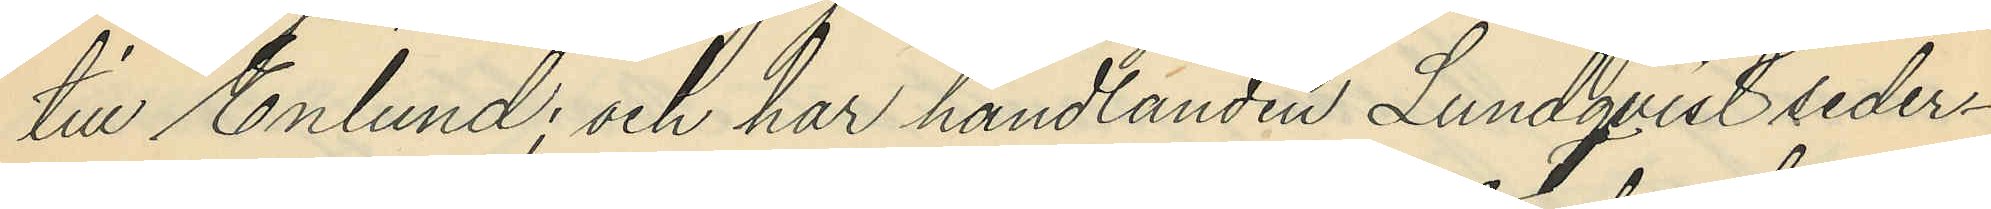till Enlund; och har handlanden Lundqvist seder¬
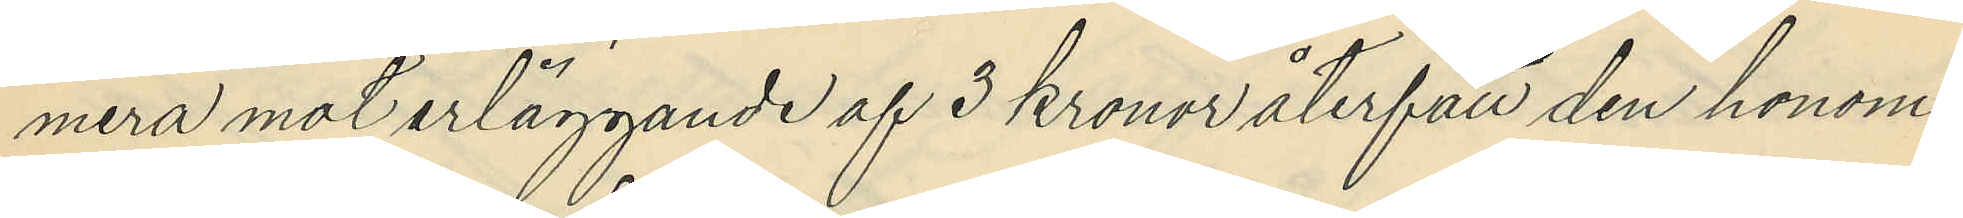mera mot erläggande af 3 kronor återfått den honom
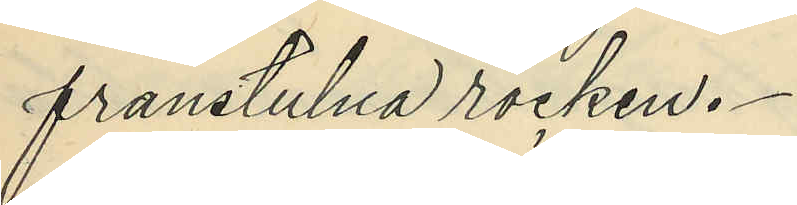frånstulna rocken.
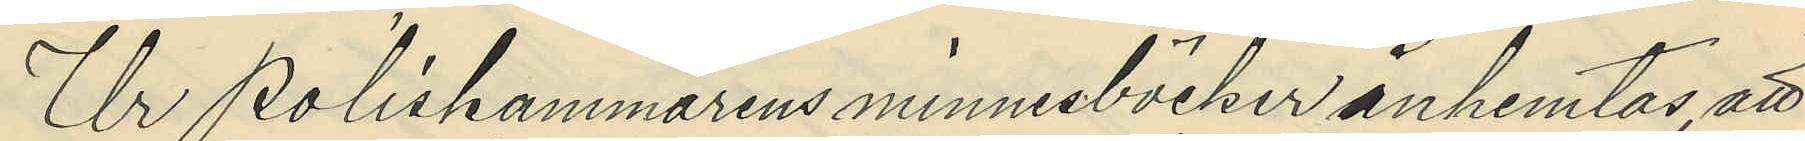Ur Poliskammarens minnesböcker inhemtas, att
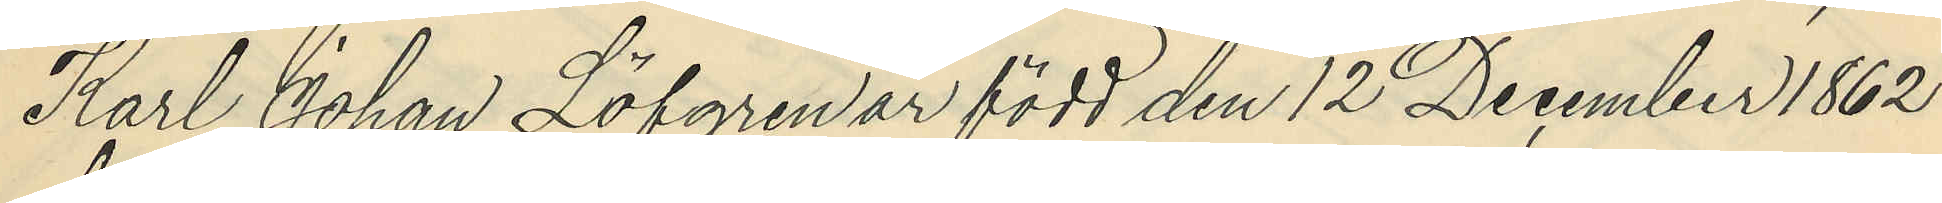Karl Johan Löfgren är född den 12 December 1862
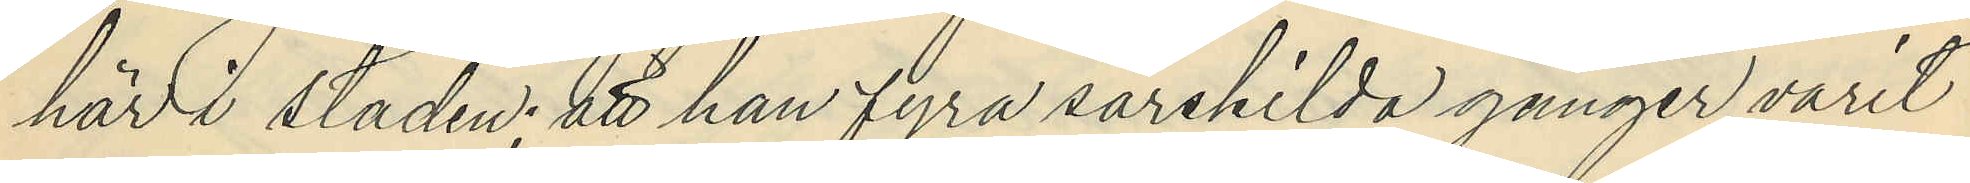här i staden; att han fyra särskilda gånger varit
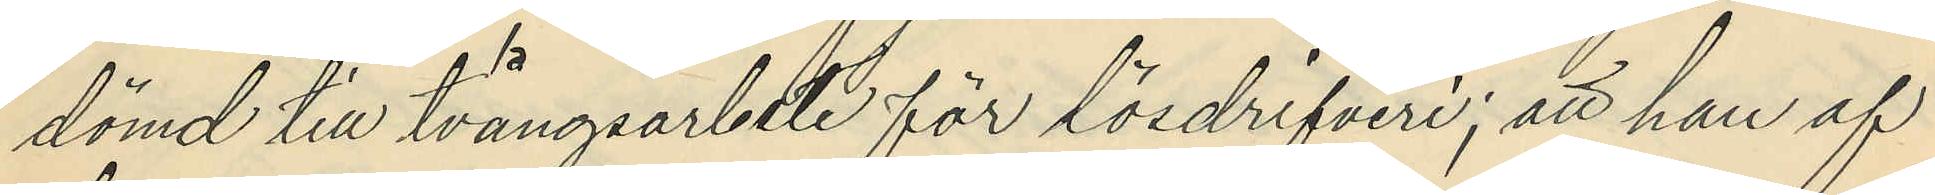dömd till tvångsarbete för lösdrifveri; att han af
